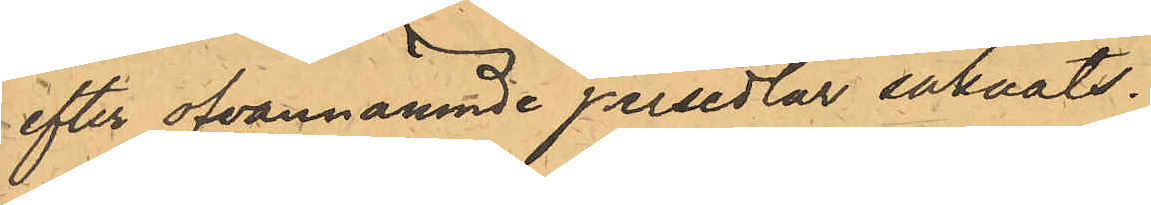efter ofvannämnde persedlar saknats.
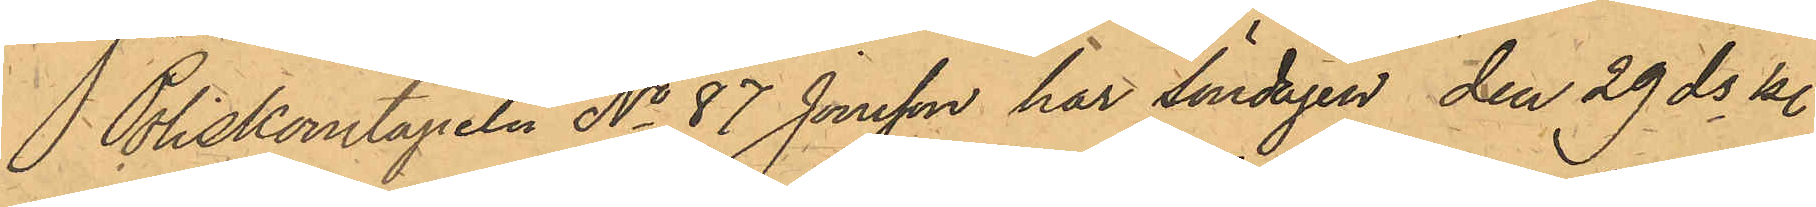Poliskonstapeln No 87 Jonsson har Söndagen den 29 ds kl.
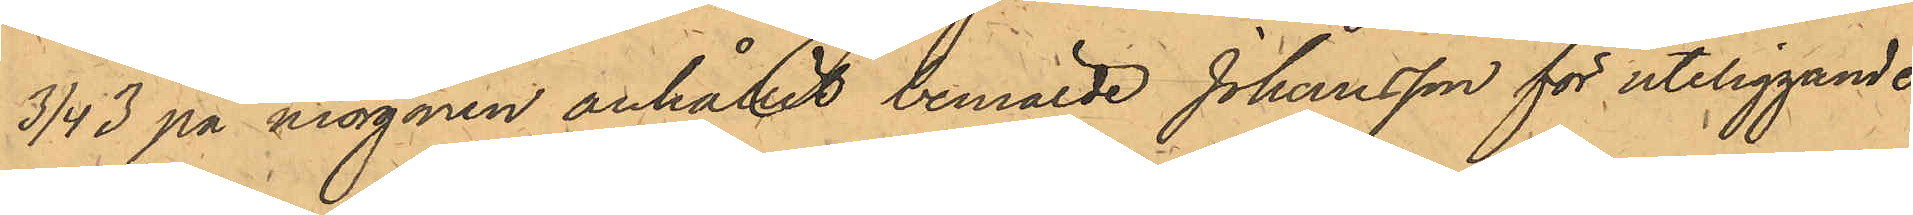3/4 3 på morgonen anhållit bemälde Johansson för uteliggande
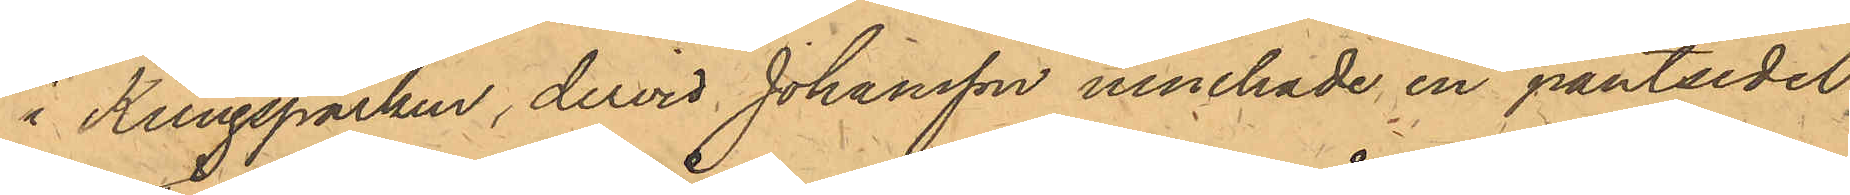i Kungsparken, dervid Johansson innehade en pantsedel,
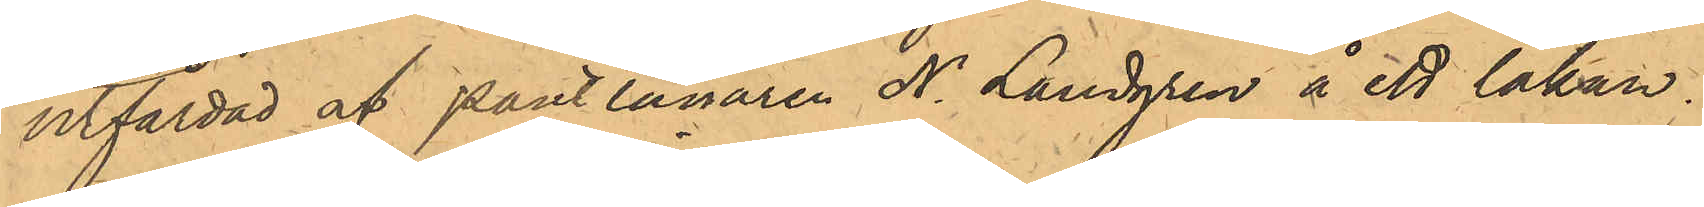utfärdad af Pantlånaren N. Landgren å ett lakan.
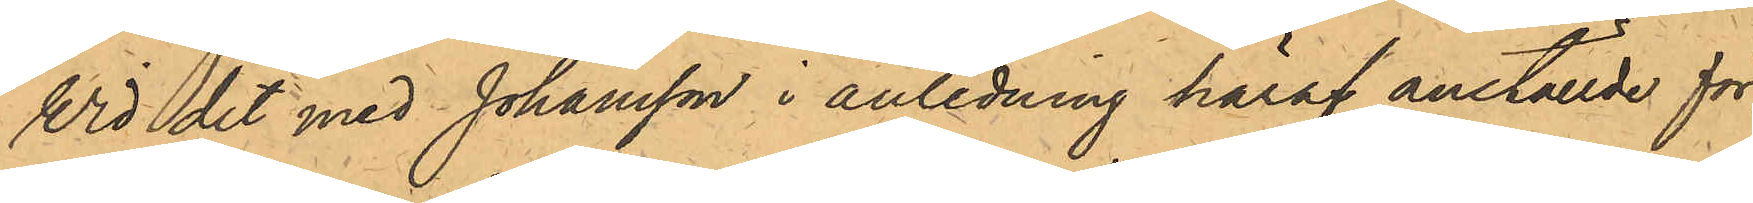Wid det med Johansson i anledning häraf anställde för¬
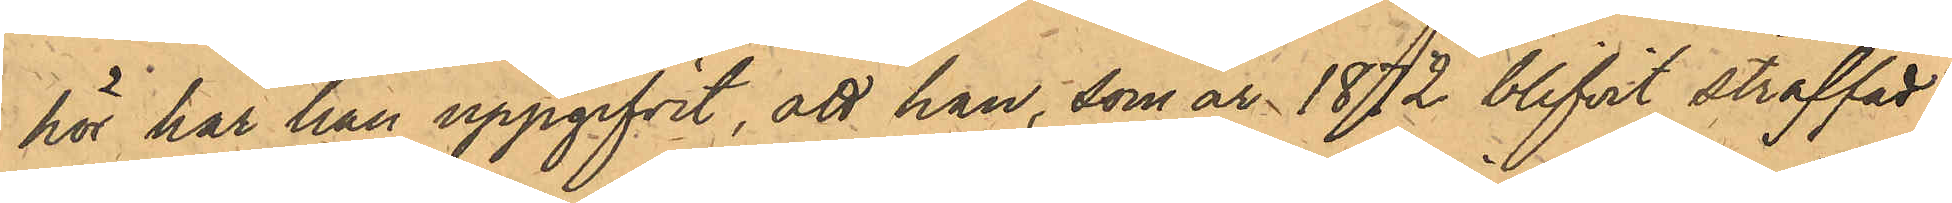hör har han uppgifvit, att han, som år 1872 blifvit straffad
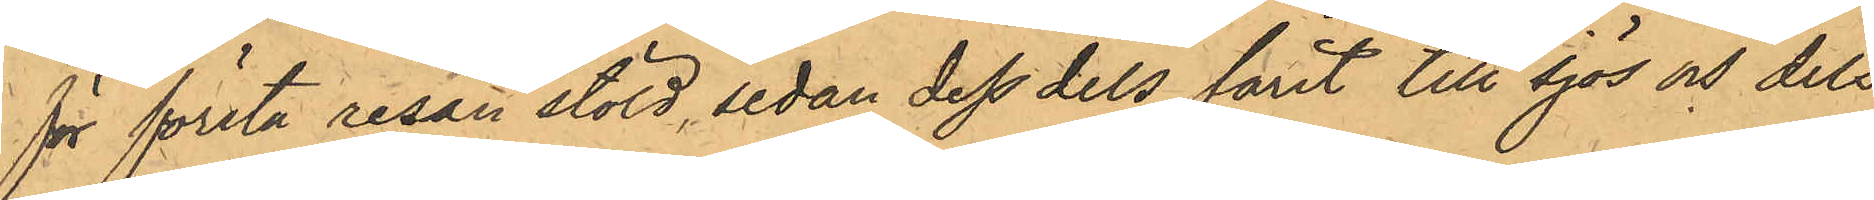för första resan stöld, sedan dess dels farit till sjöss och dels
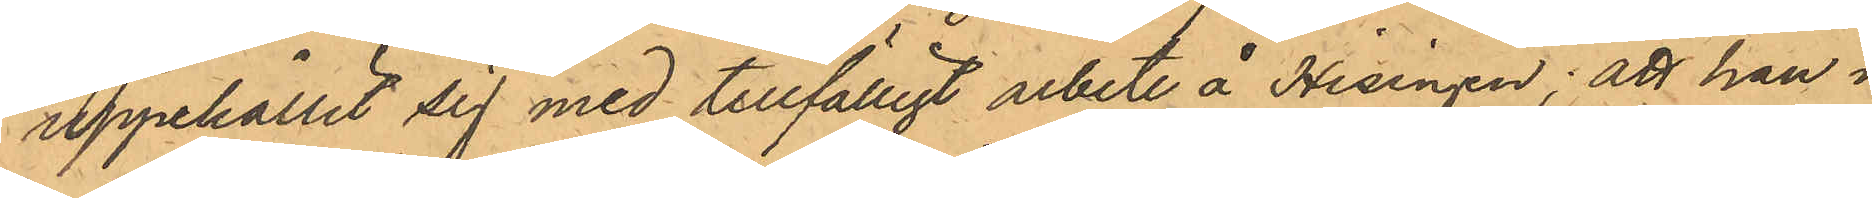uppehållit sig med tillfälligt arbete å Hisingen; att han i
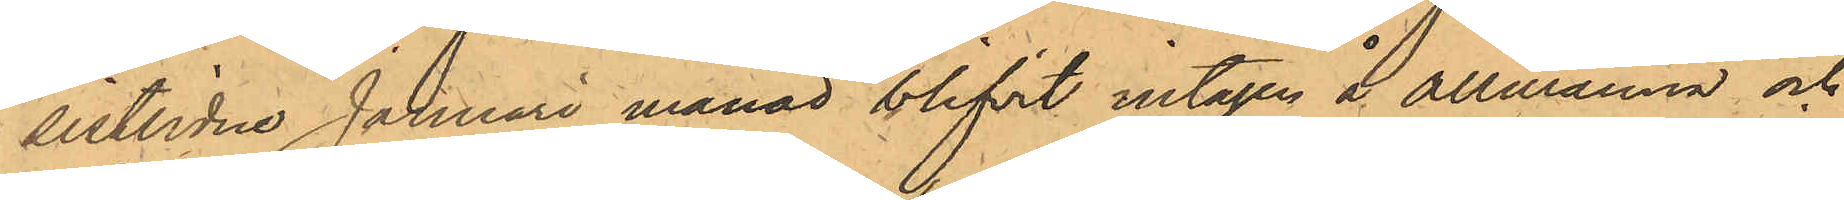sistlidne Januari månad blifvit intagen å Allmänna och
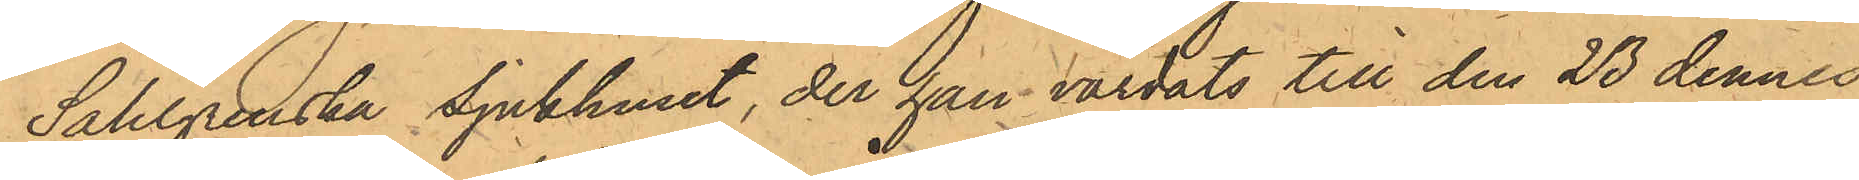Sahlgrenska Sjukhuset, der han vårdats till den 23 dennes,
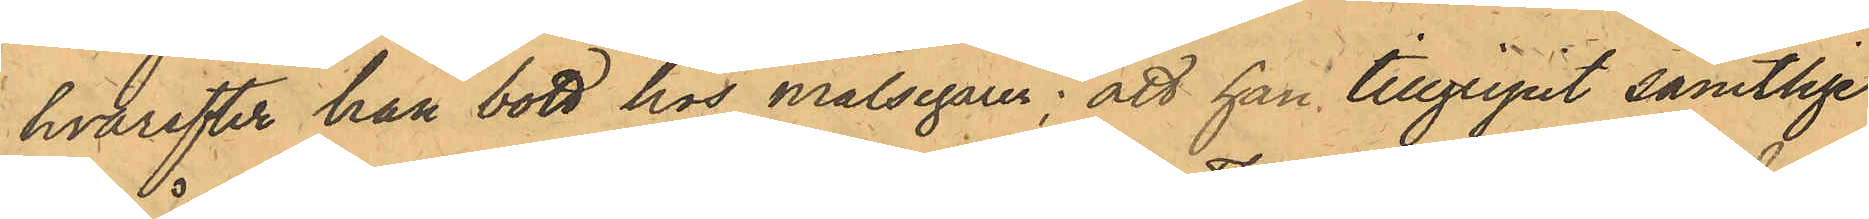hvarefter han bott hos målsegaren; att han tillgripit samtlige
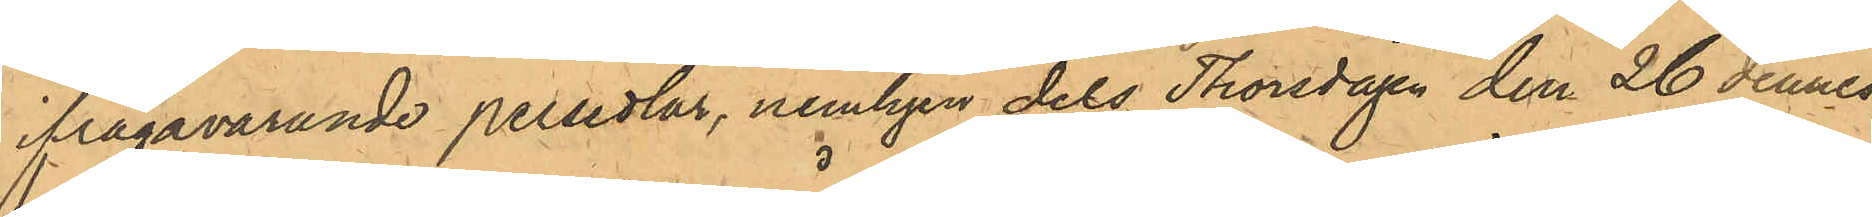ifrågavarande persedlar, nemligen dels Thorsdagen den 26 dennes
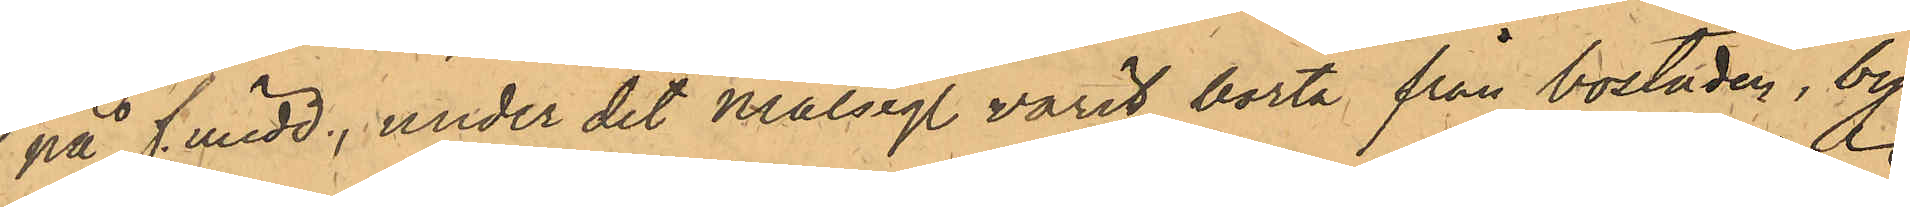på f. midd., under det målseg. varit borta från bostaden, by¬
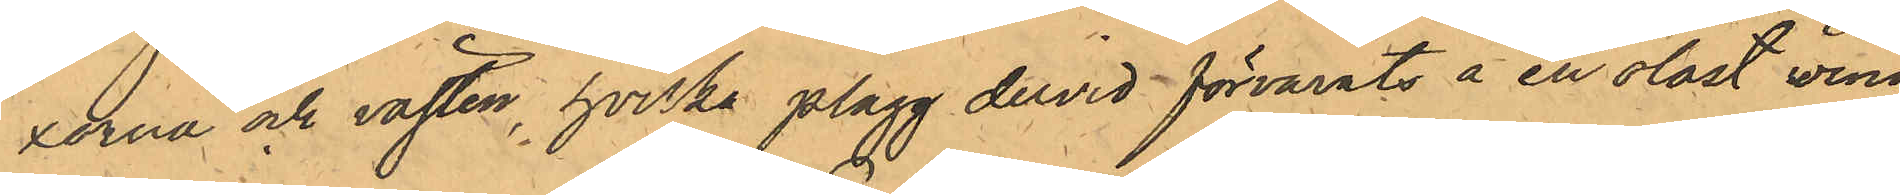xorna och västen, hvilka plagg dervid förvarats å en olåst vind
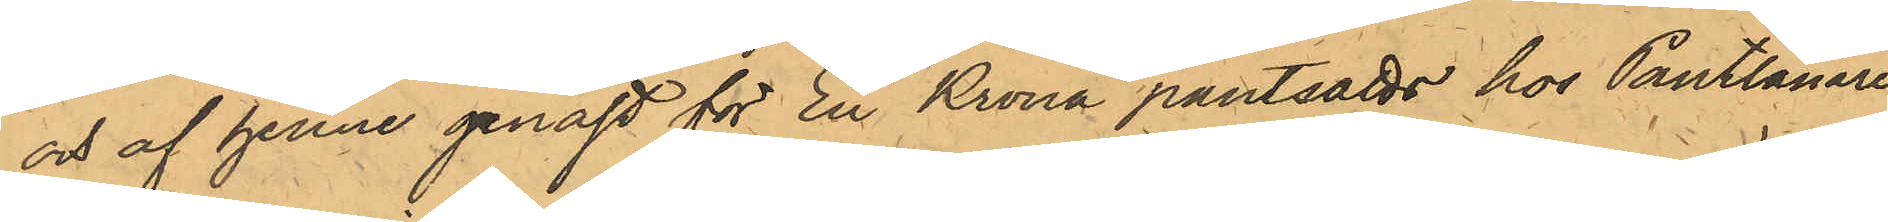och af henne genast för En Krona pantsatts hos Pantlånaren
